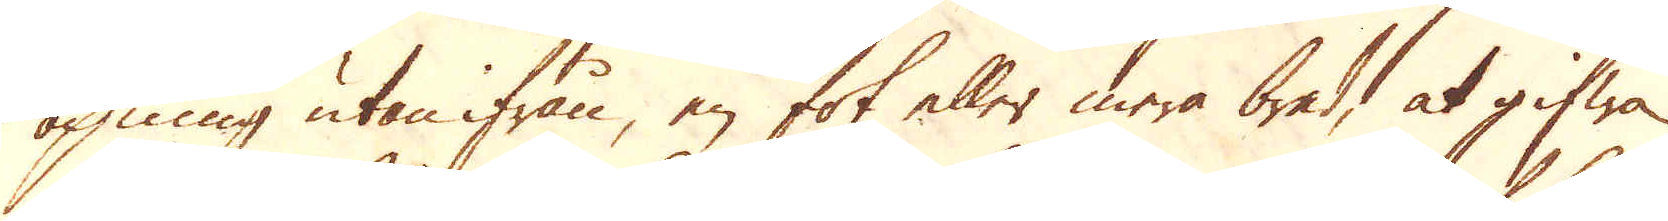öpning utan ifrån, en fot eller mera bredd, at gifwa
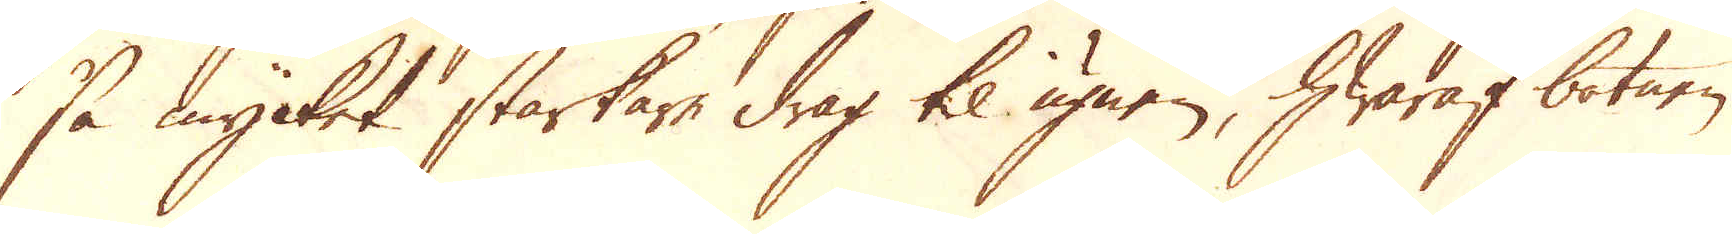så mycket starkare drag til ugnen, hwaraf botnen
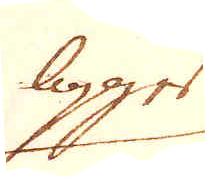ligger
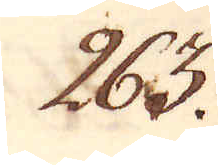263.
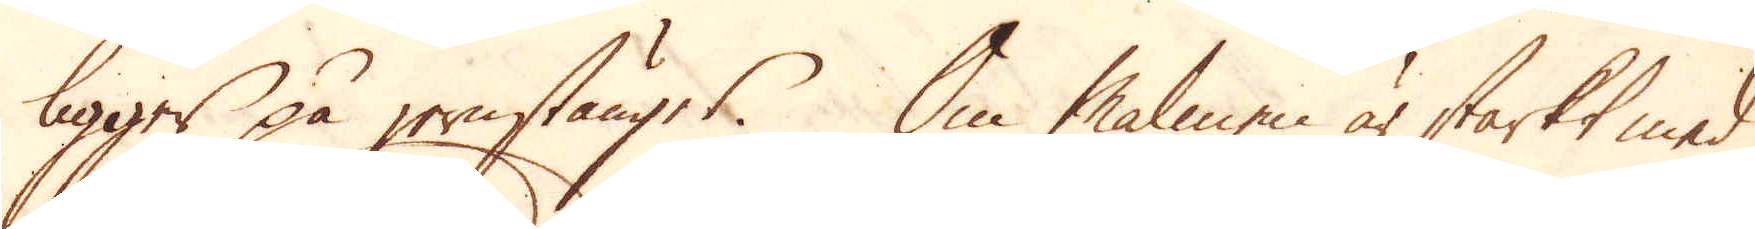ligger på jernstänger. Om Malmen är starkt med
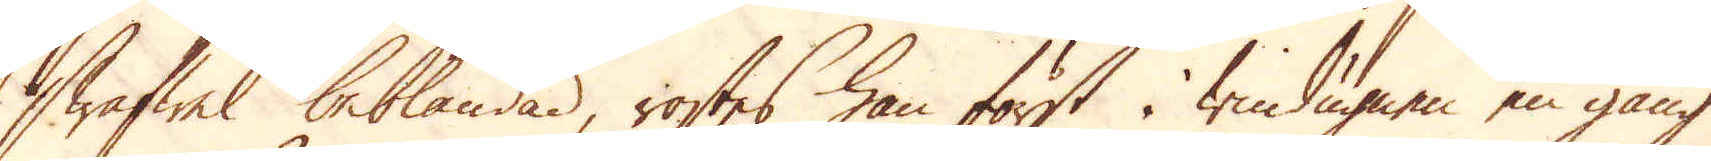Swafwel beblandad, rostes han först i windugnen en gång
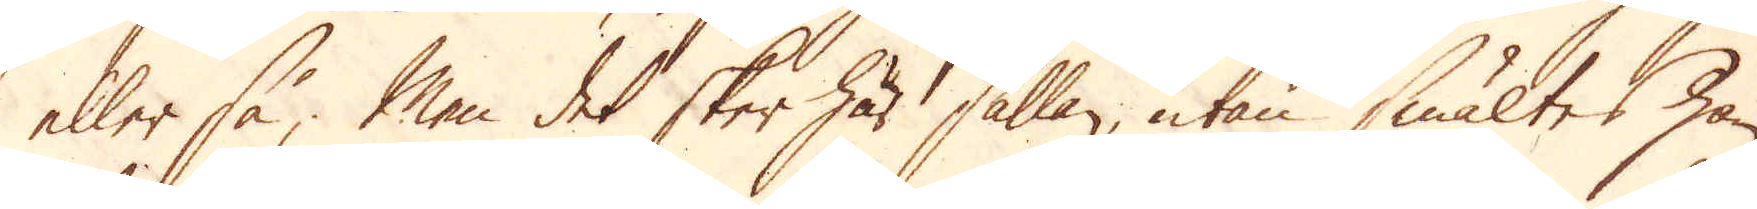eller så; Men det sker här sällan, utan smältes han
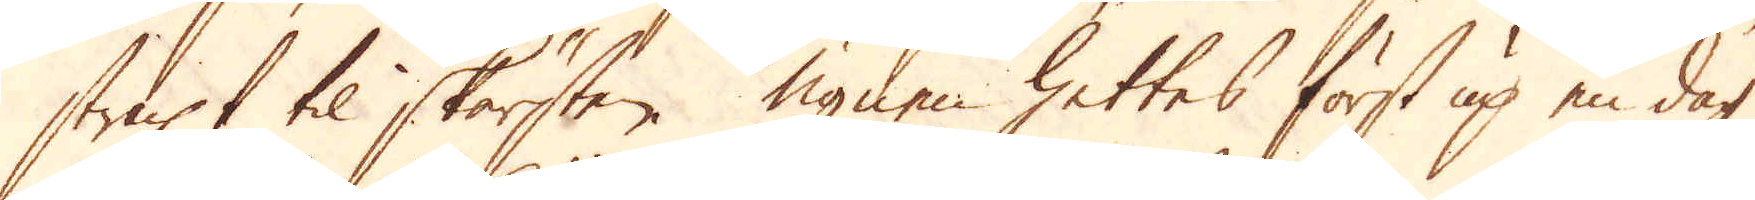straxt til skärsten. Ugnen hettes först up en dag
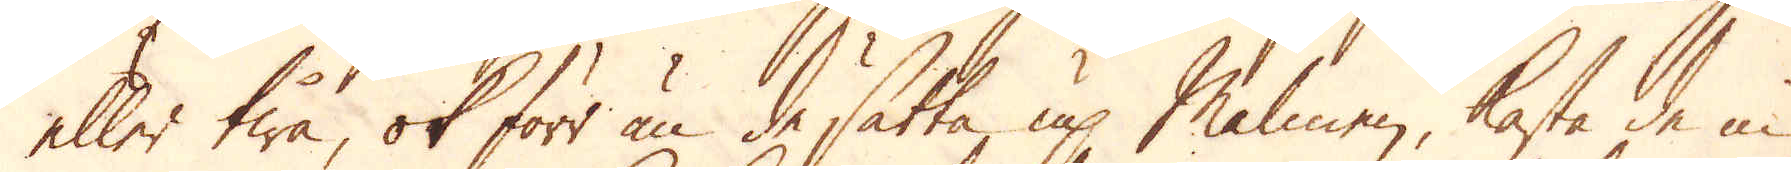eller twå, ok förr än de sätta up Malmen, kasta de in
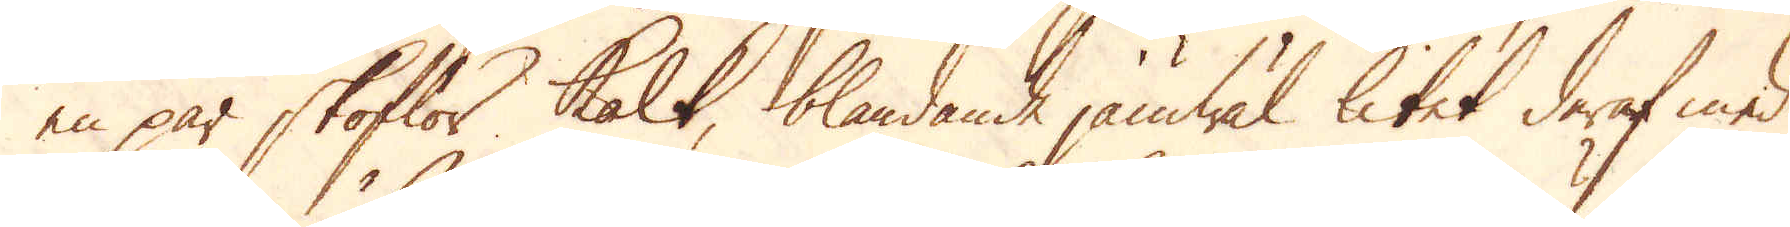en par skoflor kalk, blandande jämwäl litet deraf med
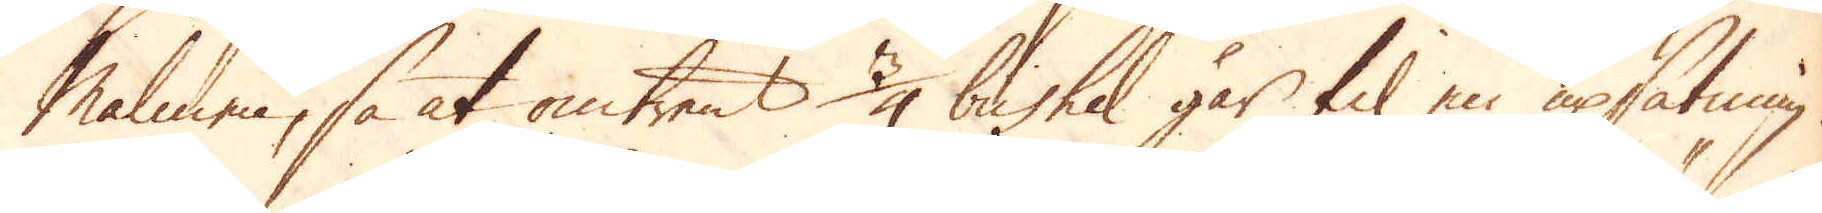Malmen, så at omtrent 3/4 bushel går til en upsätning.
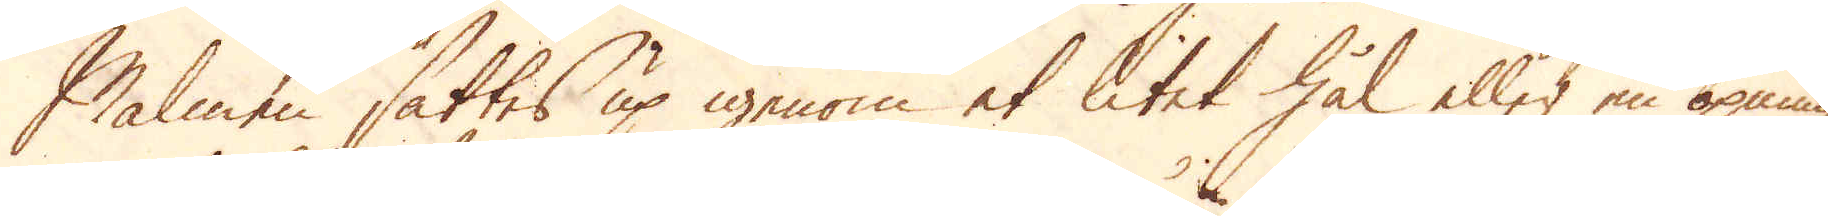Malmen sättes up igenom et litet hål eller en öpning
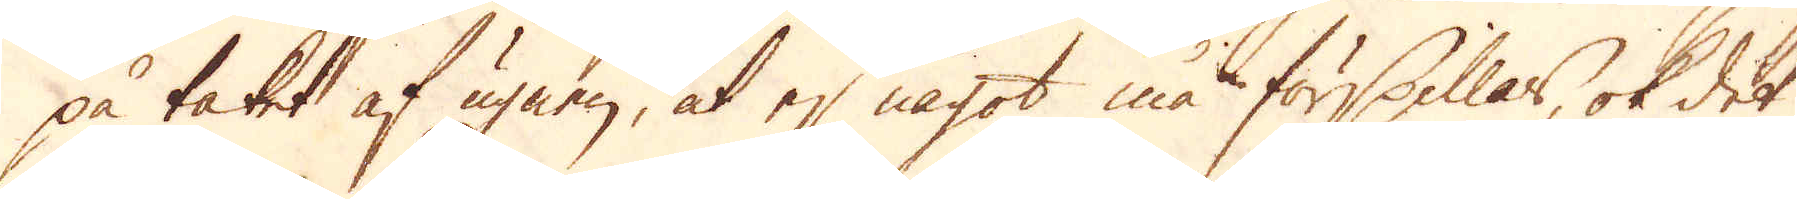på taket af ugnen, at ej något må förspillas, ok det
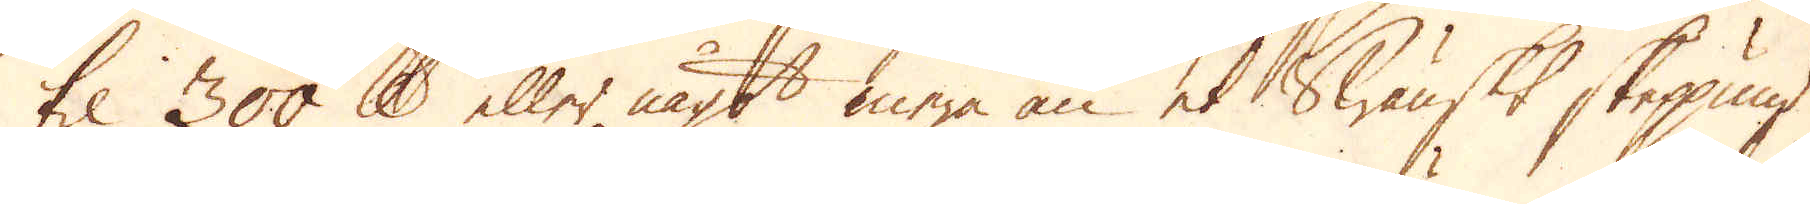til 300 skålpund eller något mera än et Swänskt skeppund
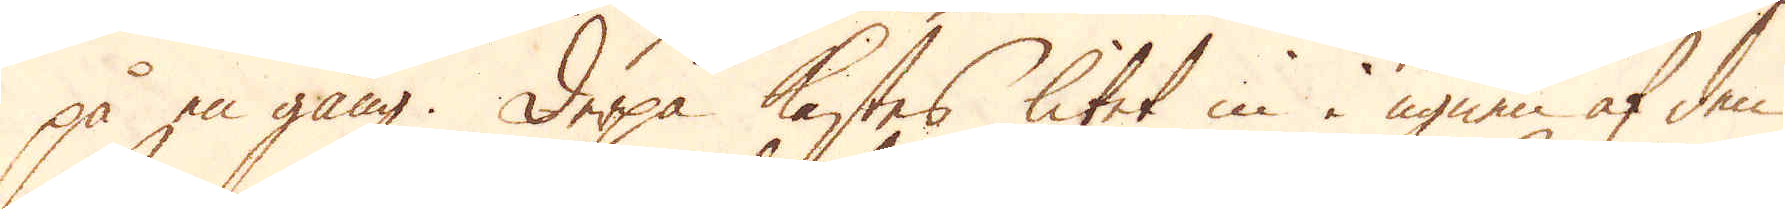på en gång. Derpå kastas litet in i ugnen af den
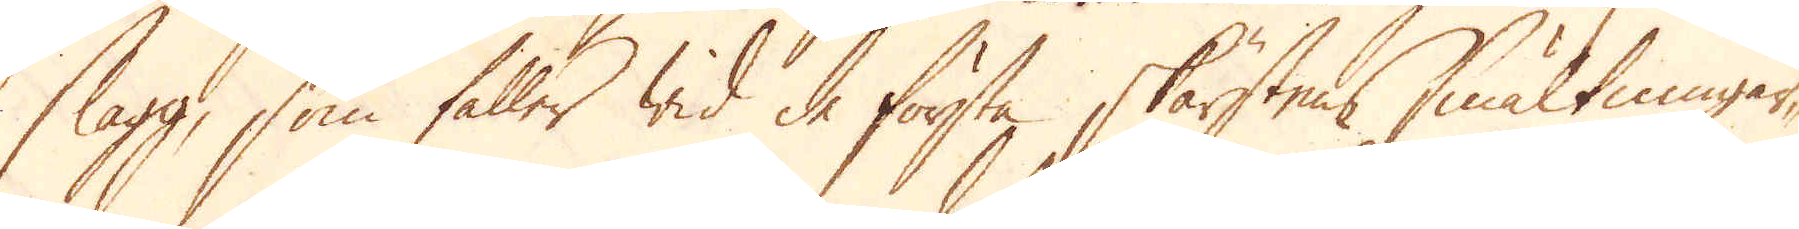slagg, som faller wid de första skärstens smältningar-
